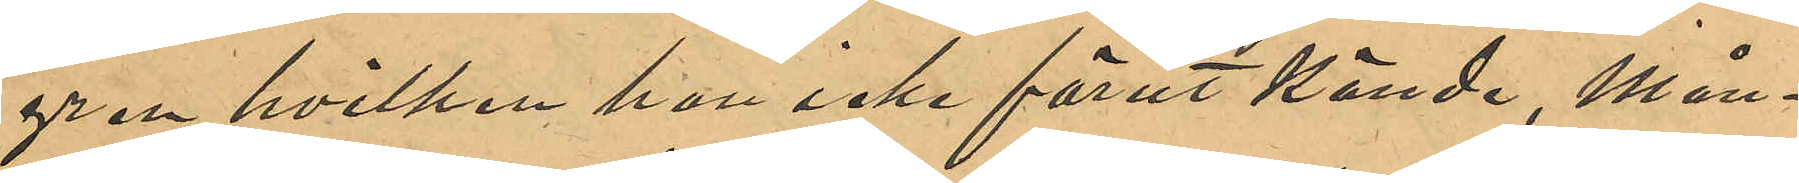gren hvilken hon icke förut kände, Mån¬
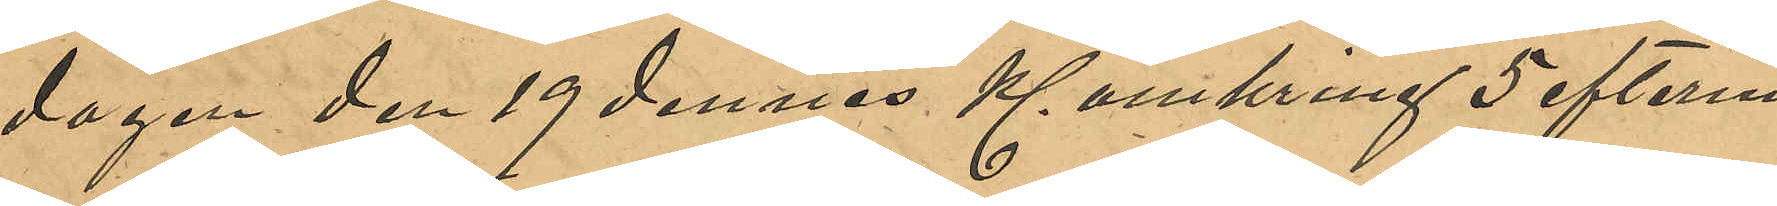dagen den 19 dennes Kl omkring 5 efterm.
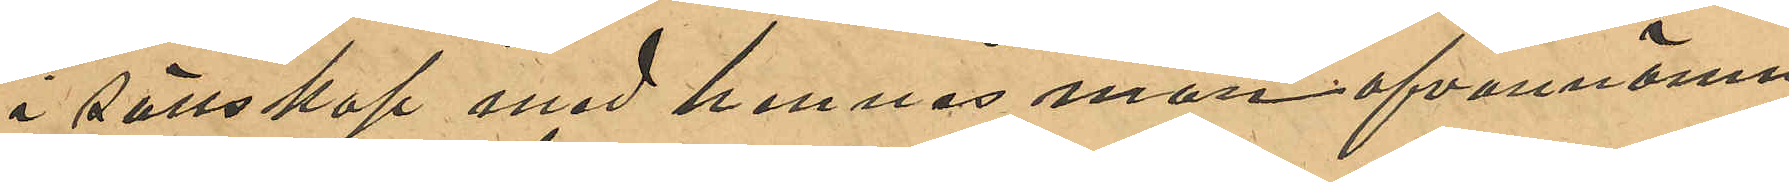i sällskap med hennes man ofvannämn¬
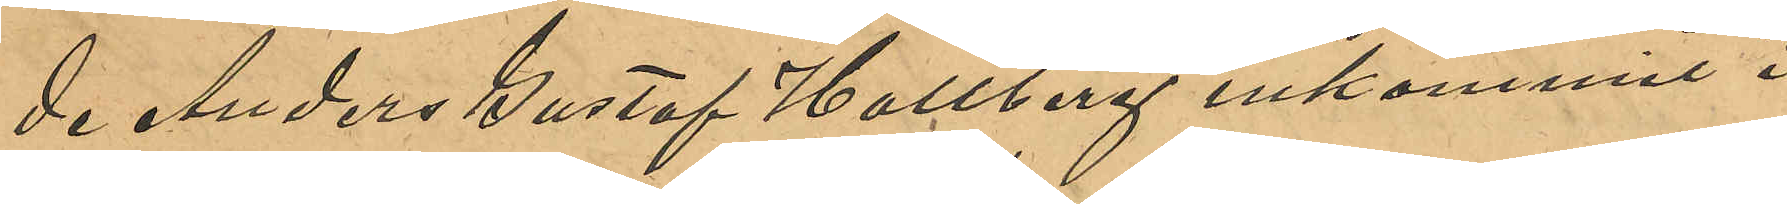de Anders Gustaf Hallberg inkommit i
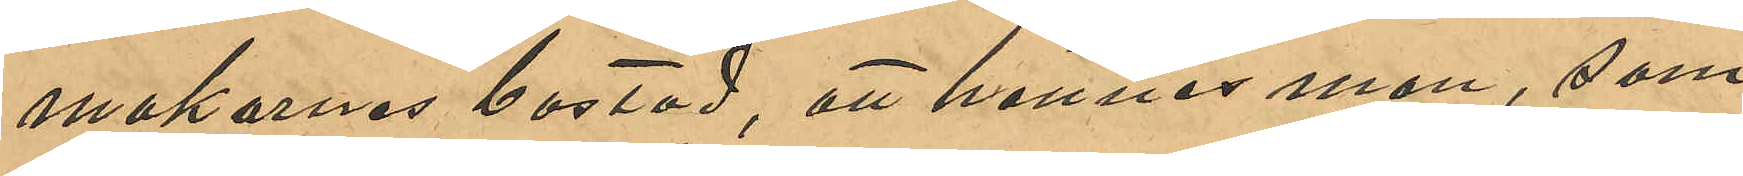makarnas bostad, att hennes man, som
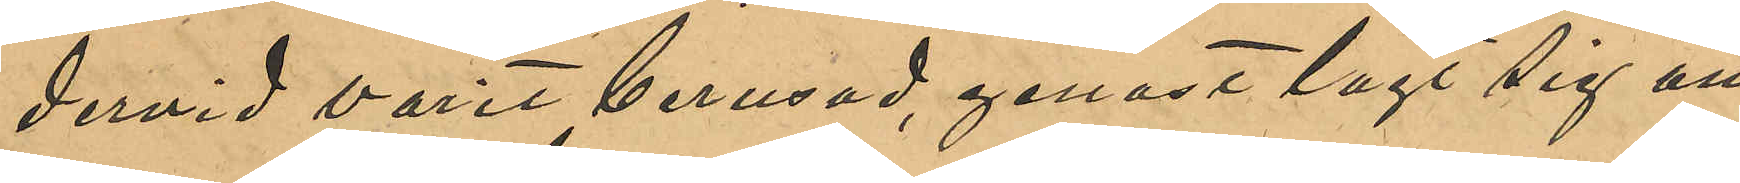dervid varit berusad genast lagt sig att
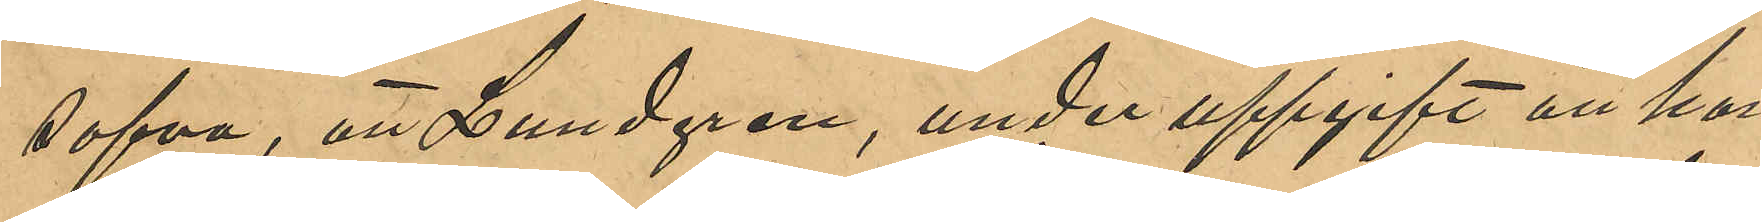sofva, att Lundgren, under uppgift att han
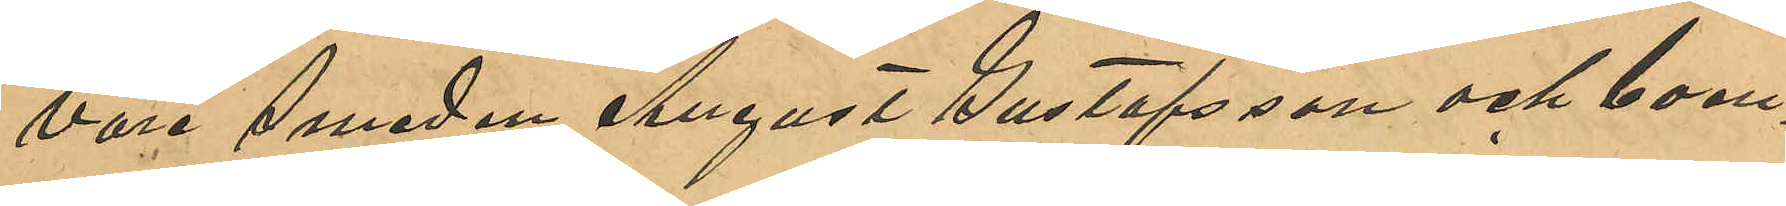vara Smeden August Gustafsson och boen¬
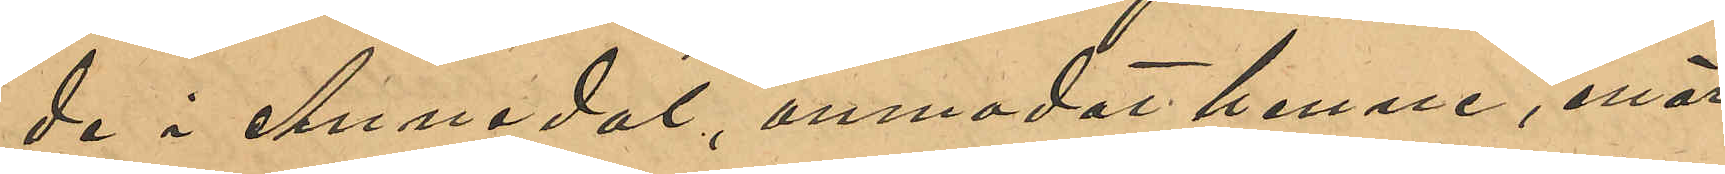de i Annedal, anmodat henne, enär
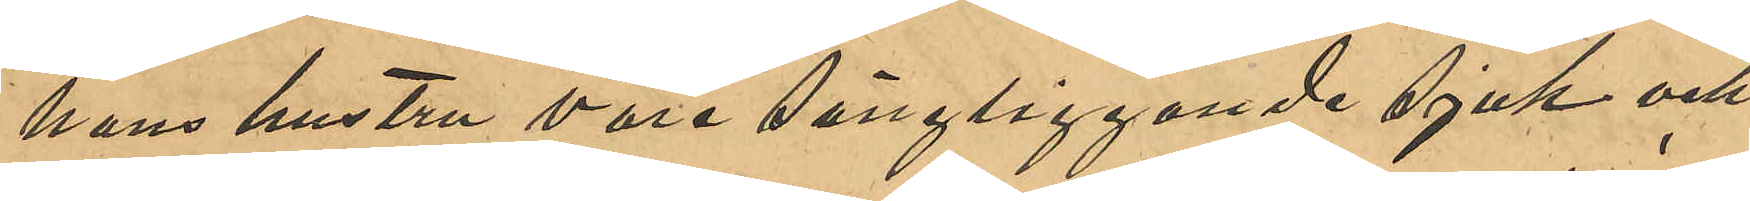hans hustru vore sängliggande sjuk och
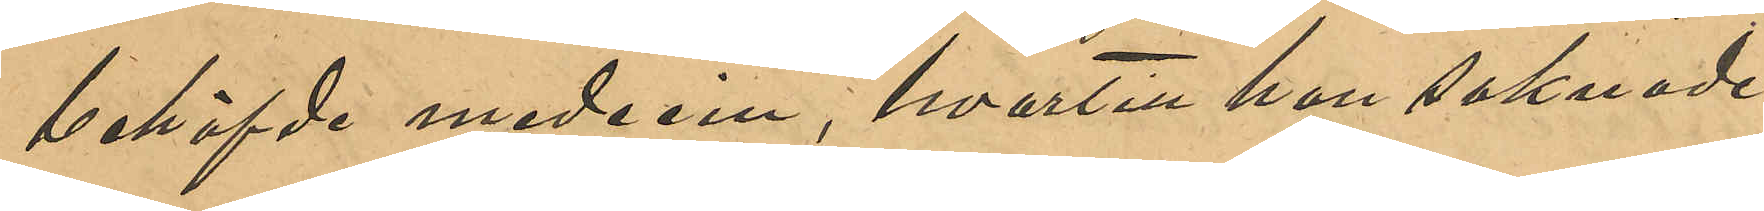behöfvde medicin, hvartill han saknade
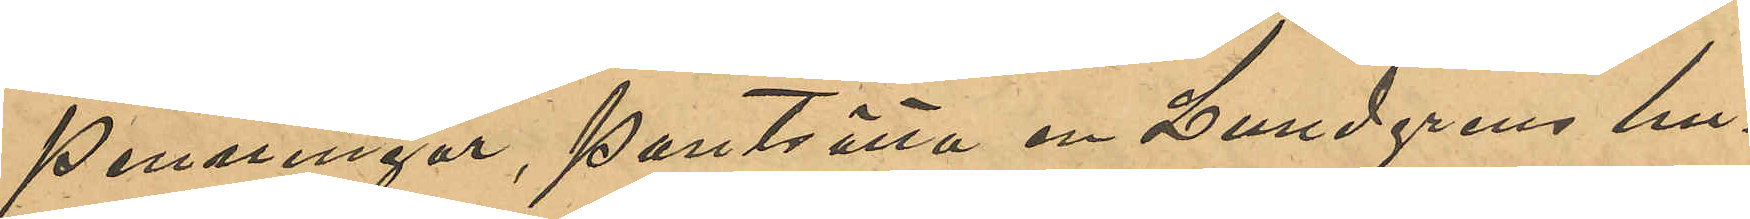penningar, pantsätta en Lundgrens hu¬
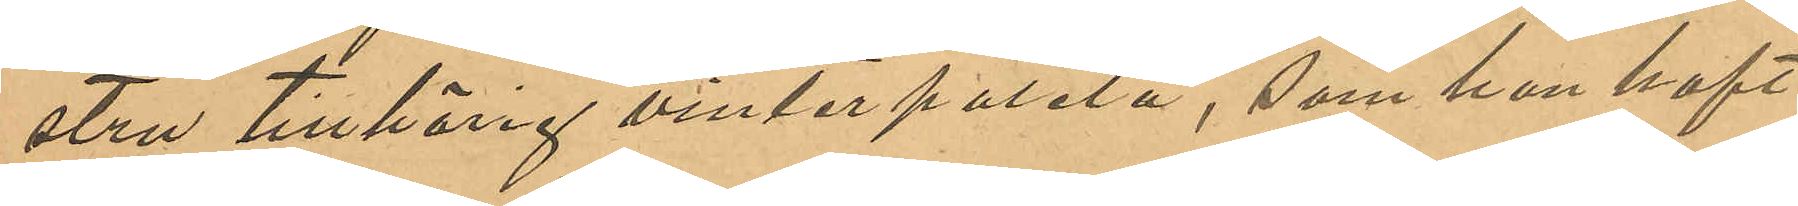stru tillhörig vinterpaletå, som han haft
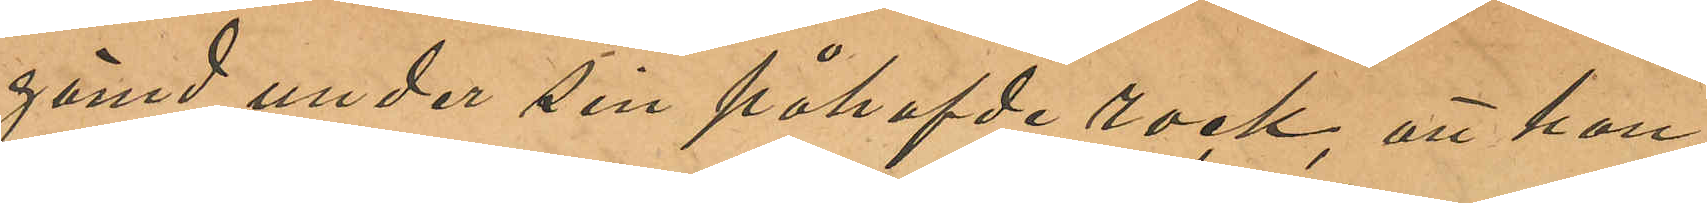gömd under sin påhafvde rock, att hon,
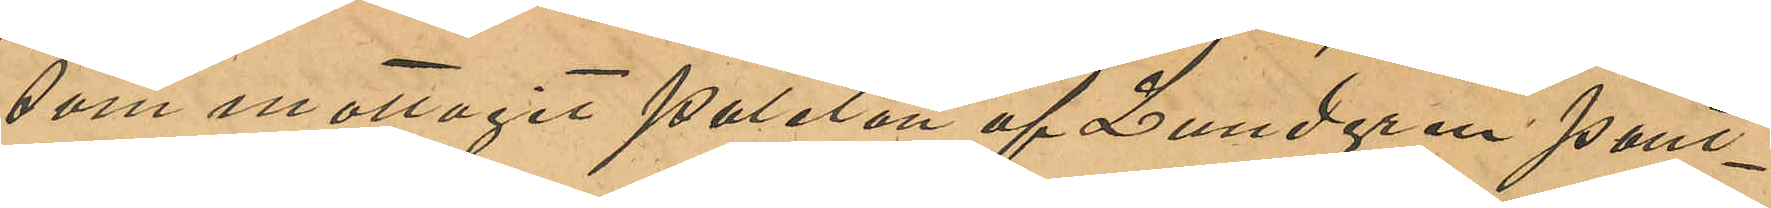som mottagit paletån af Lundgren pant¬
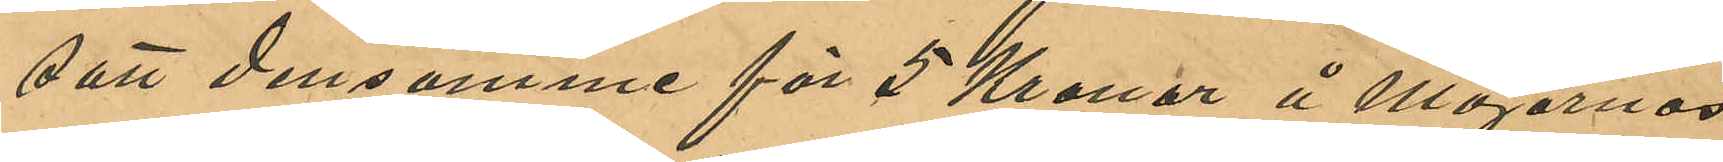satt densamme för 5 Kronor å Majornas
